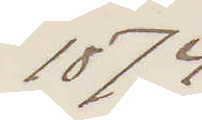1874
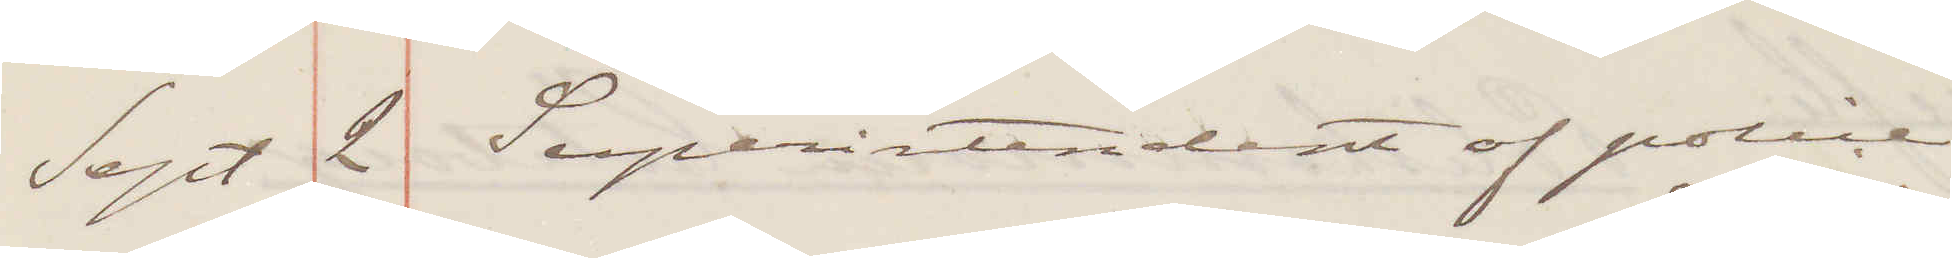Sept 2 Superintendent of police
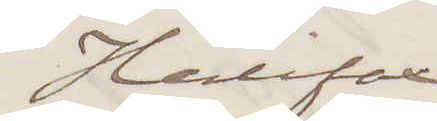Halifax
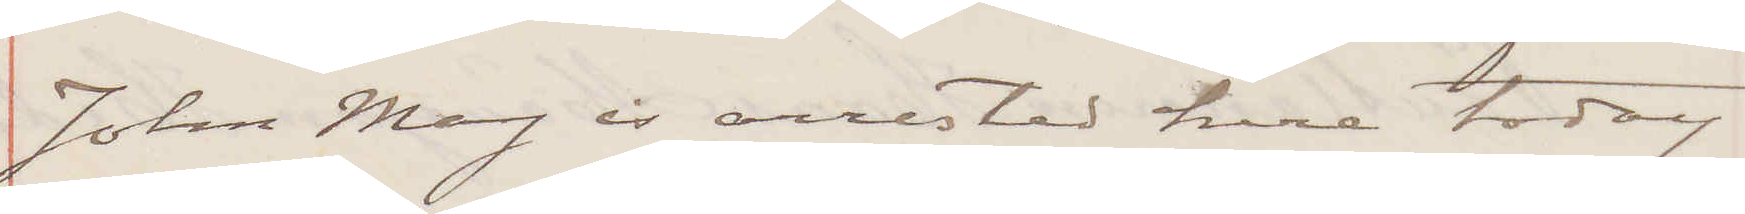John May is arrested here Today.
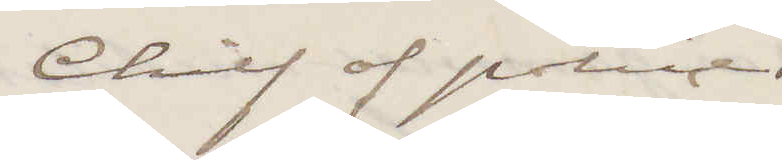Chief of police
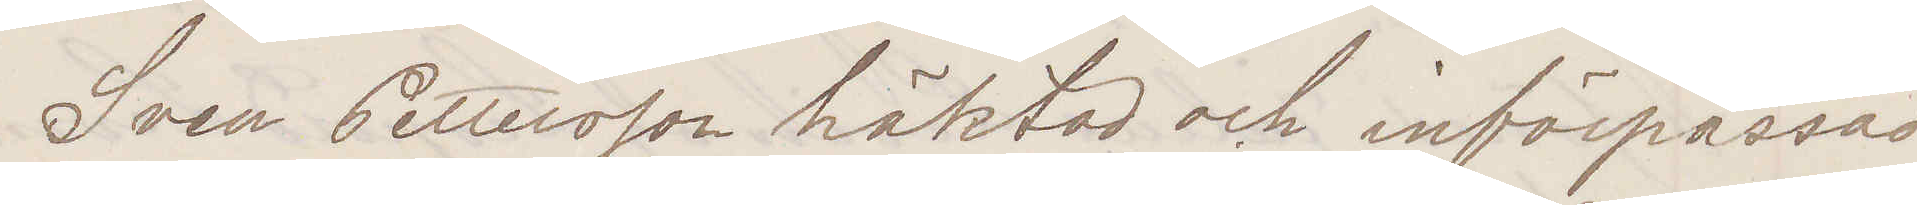Sven Pettersson häktad och införpassad
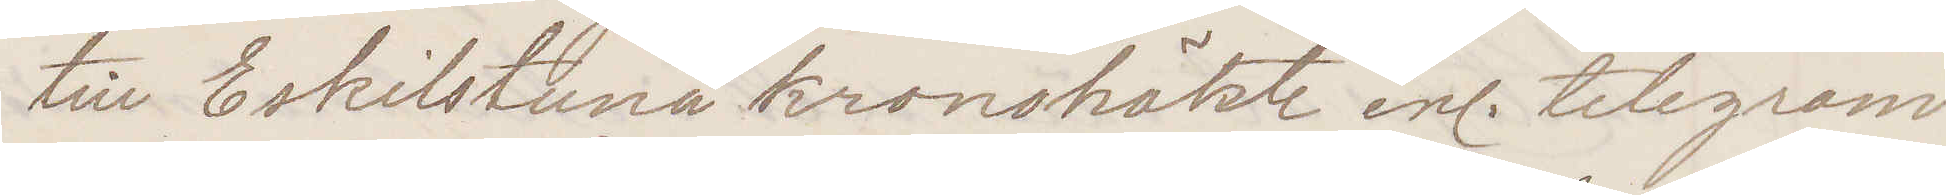till Eskilstuna kronohäkte enl. telegram
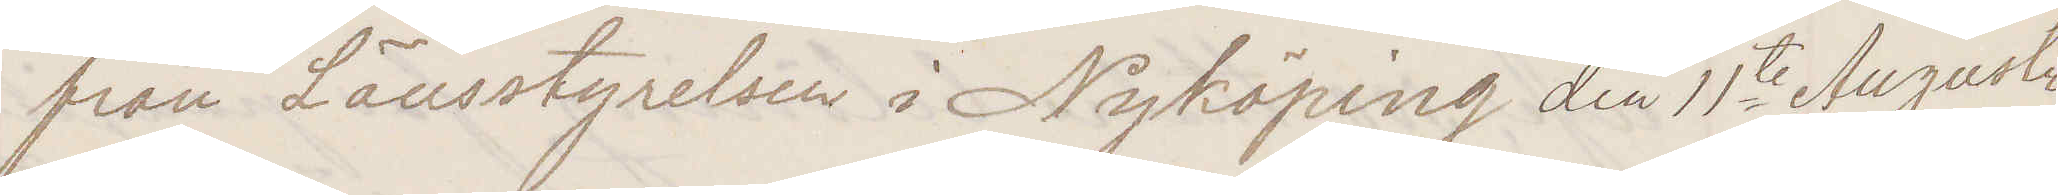från Länsstyrelsen i Nyköping den 11te Augusti
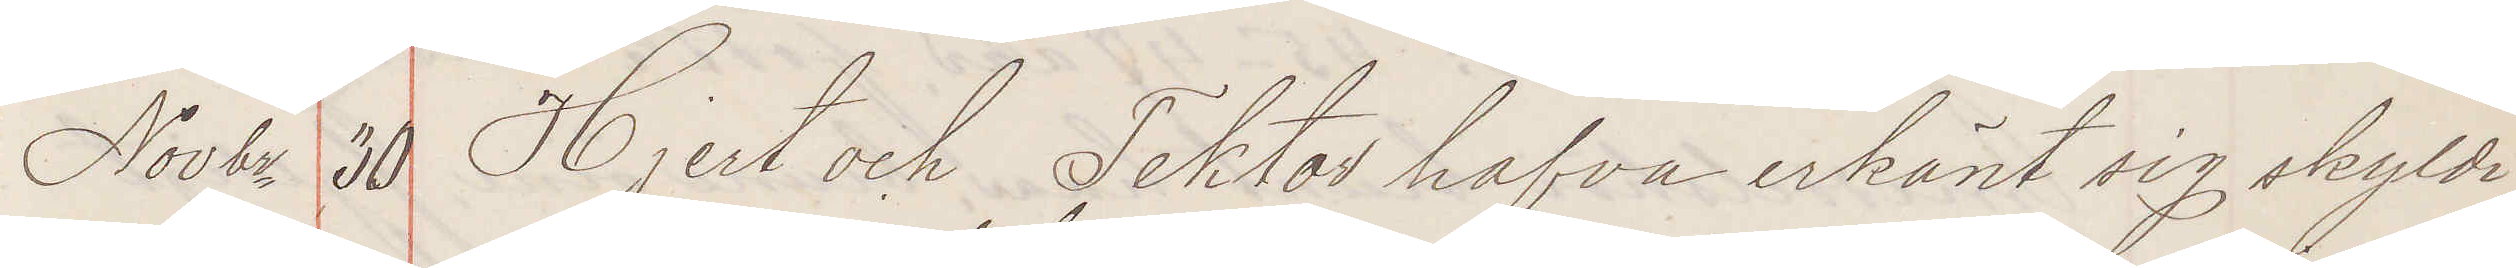Novbr 30  Hjert och Tektor hafva erkänt sig skyldi¬
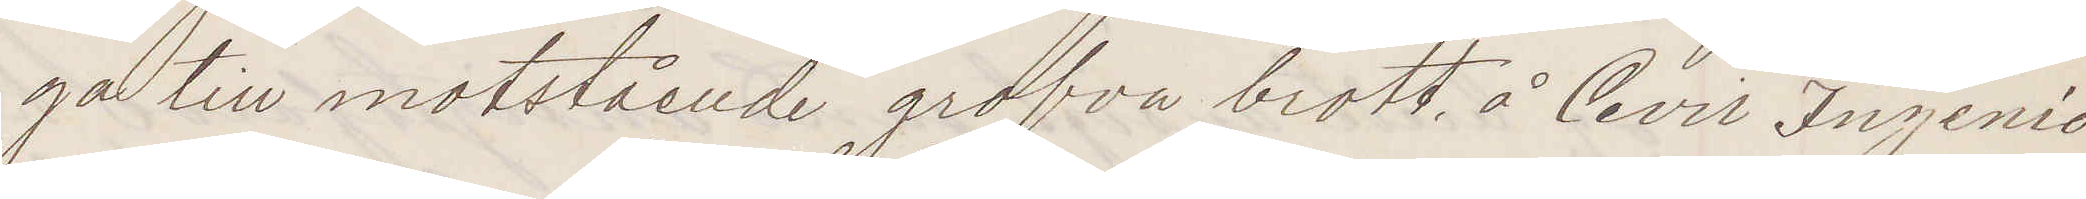ga till motstående grofva brott å Civil Ingenio¬
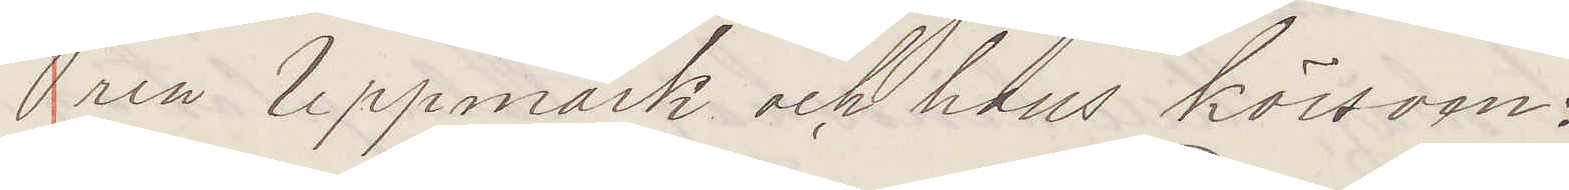ren Uppmark och hans körsven
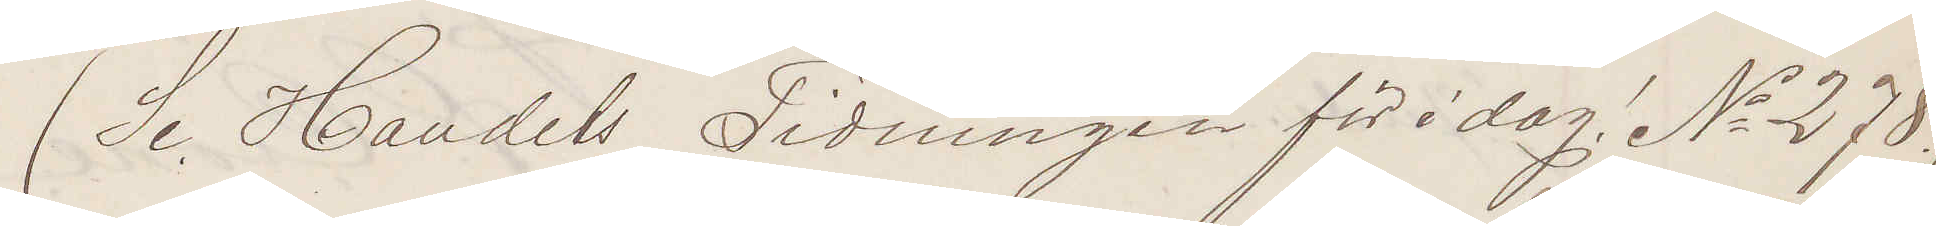(Se Handels Tidningen för idag! No 278.)
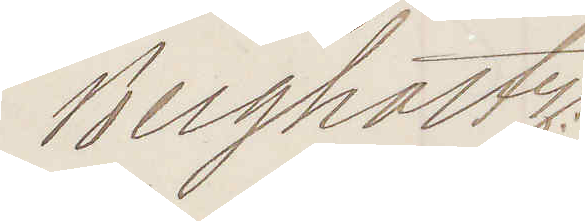Bergholtz.
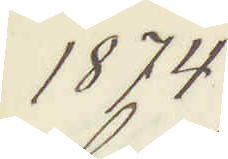1874
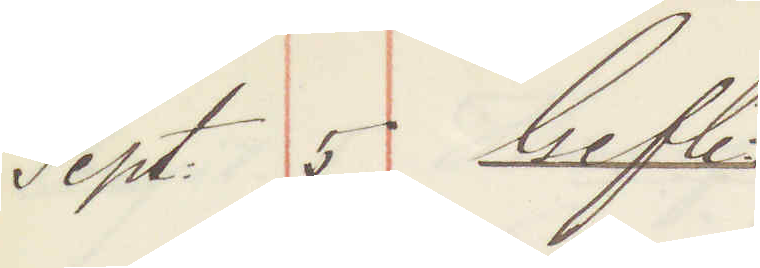Sept: 5 Gefle
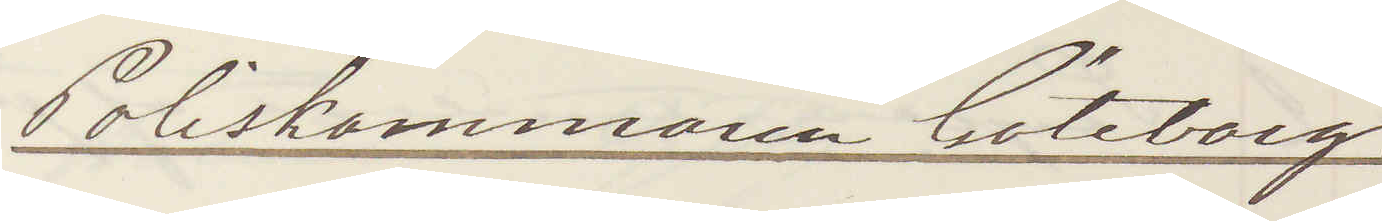Poliskammaren Göteborg
